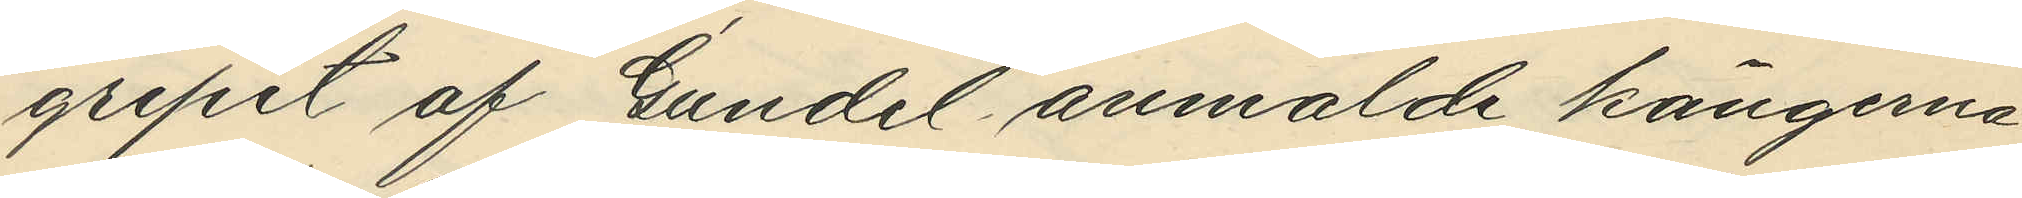gripit af Gundel anmalde kängerne
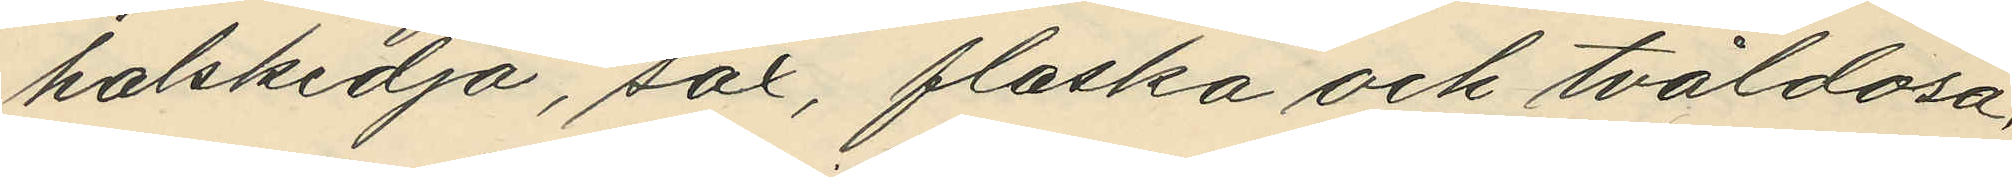halskedja, sax, flaska och tvåldosa,
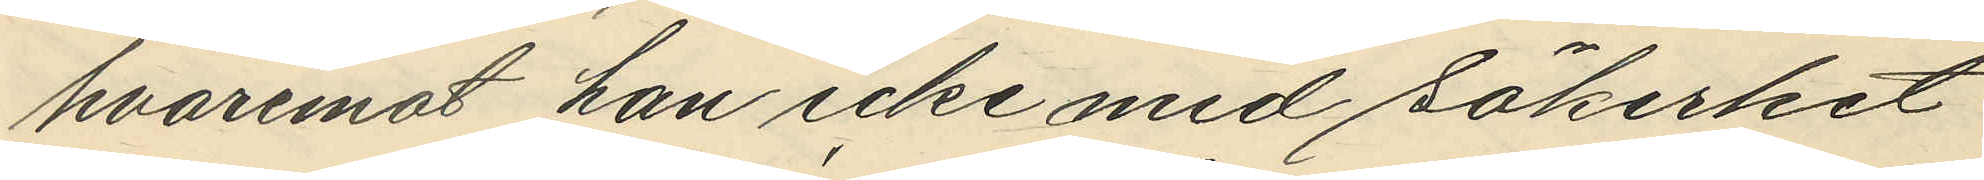hvaremot han icke med säkerhet
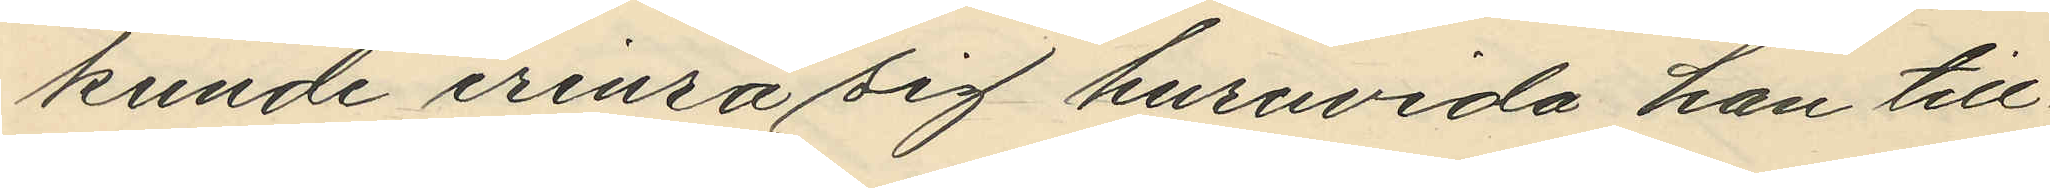kunde erinra sig huruvida han till¬
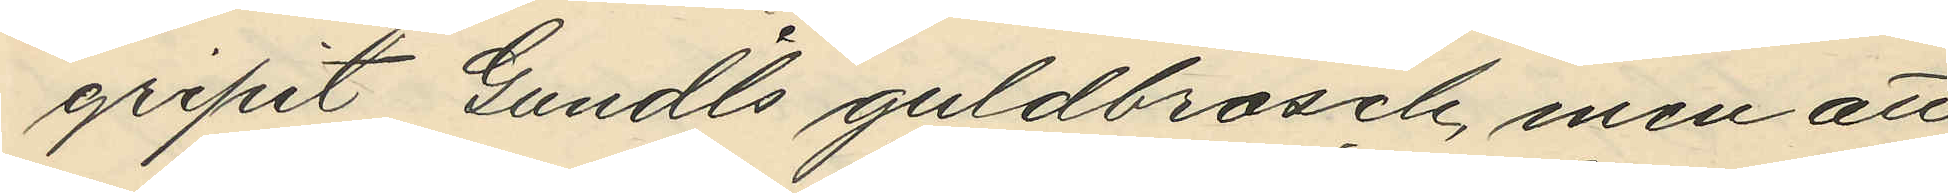gripit Gundels guldbrosch, men att
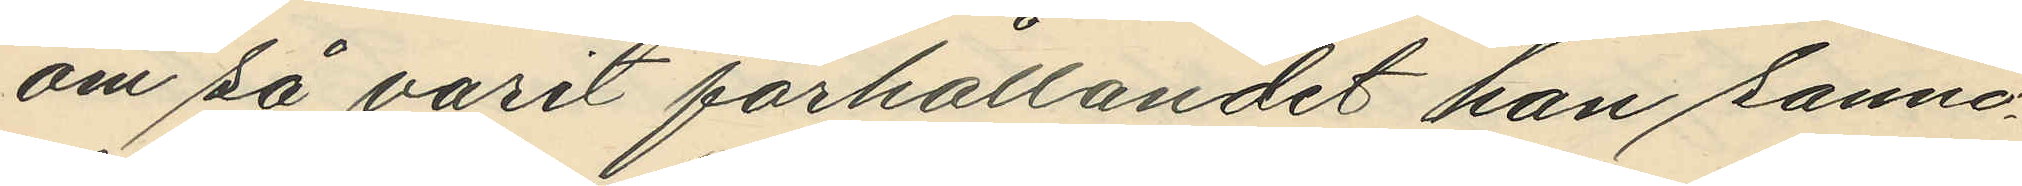om så varit förhållandet han sanno¬
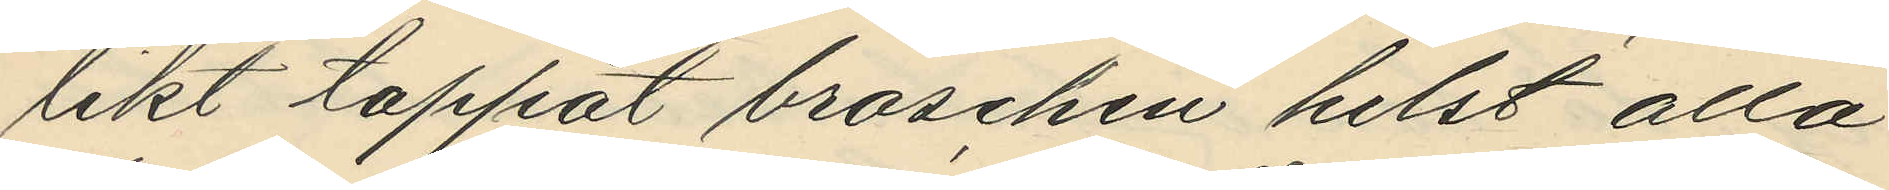likt tappat broschen helst alla
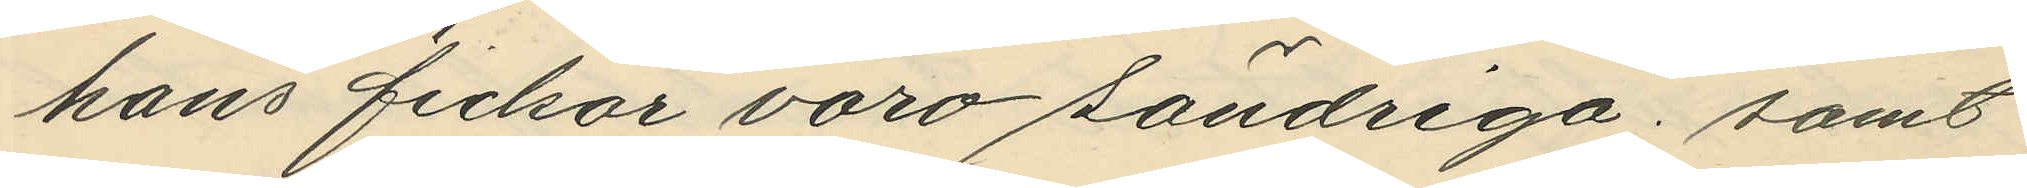hans fickor voro söndriga; samt 
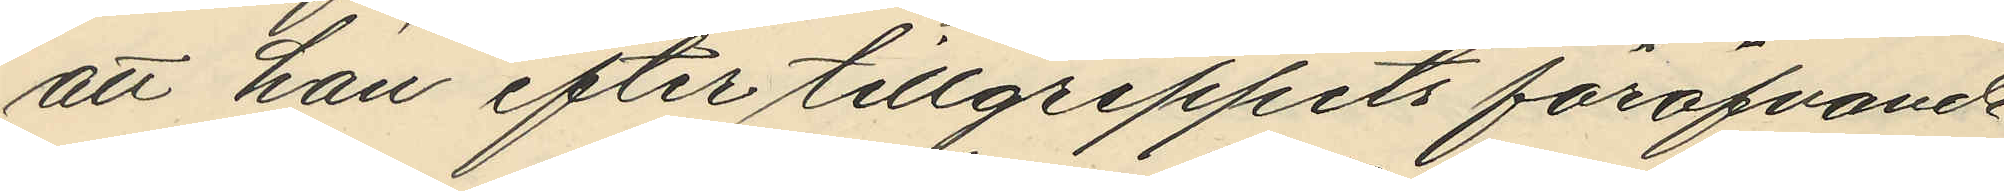att han efter tillgreppets föröfvande
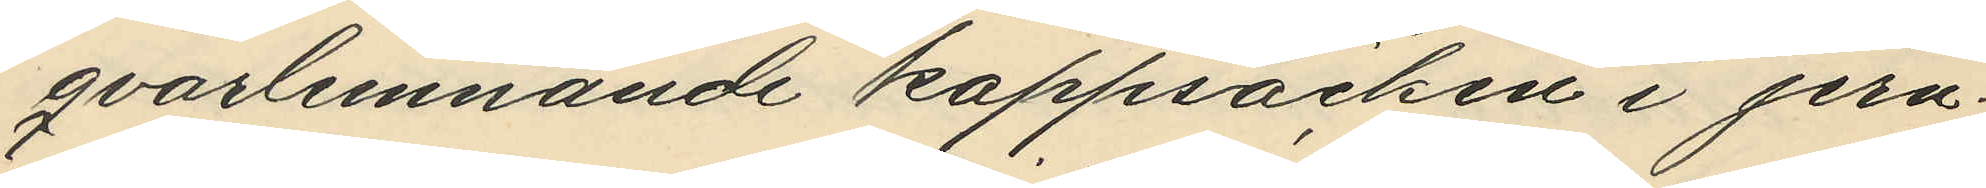qvarlemnande kappsäcken i jern¬
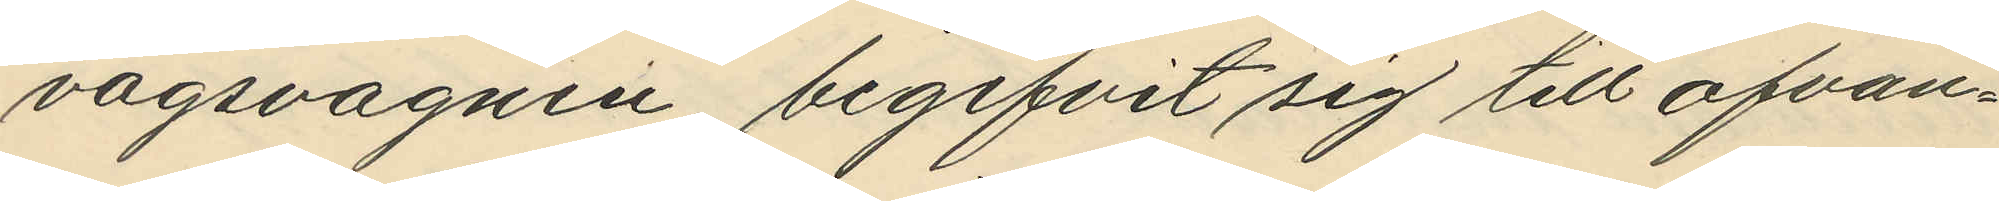vägsvagnen, begifvit sig till ofvan¬
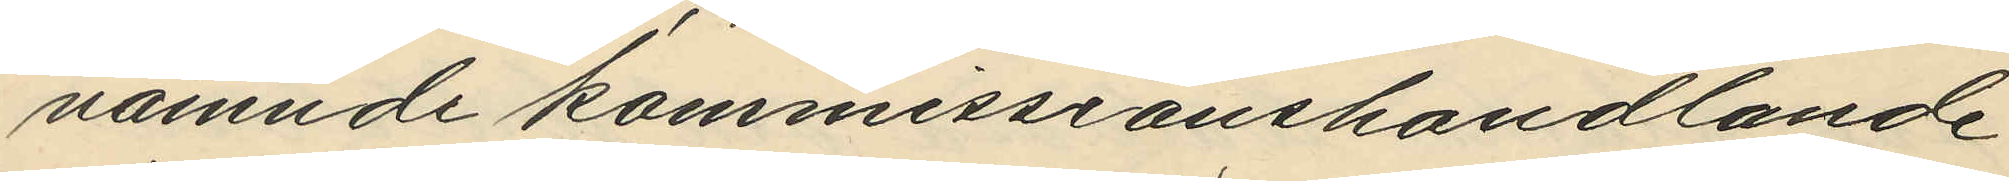nämnde kommissionshandlande
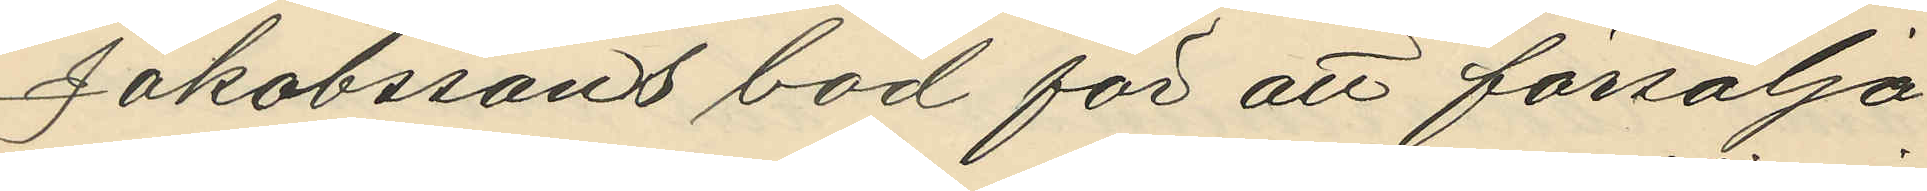Jakobssons bod för att försälja
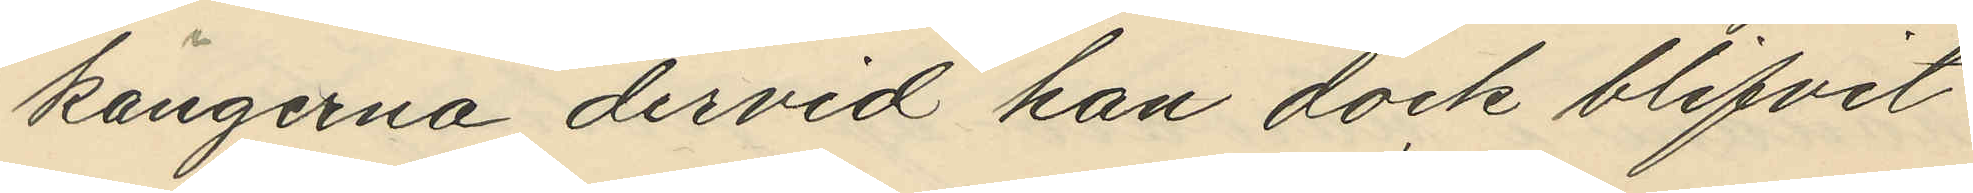kängerna dervid han dock blifvit
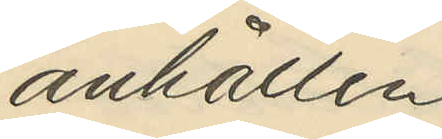anhållen
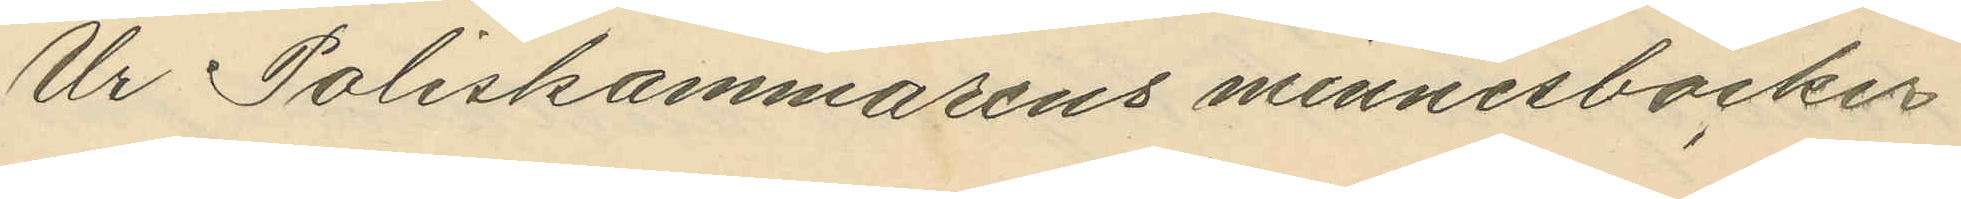Ur Poliskammarens minnesböcker
